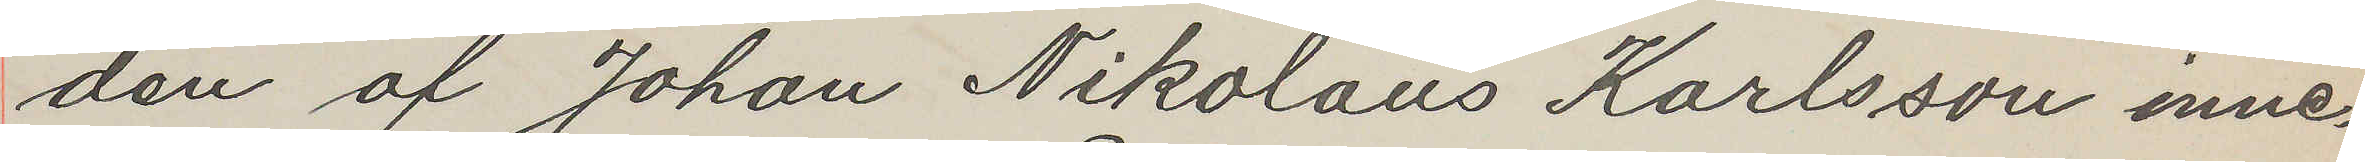den af Johan Nikolaus Karlsson inne¬
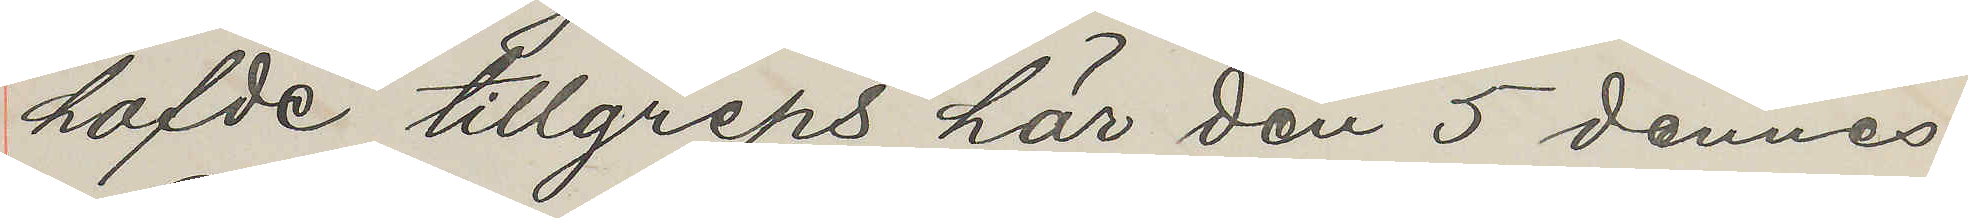hafde tillgreps här den 5 dennes
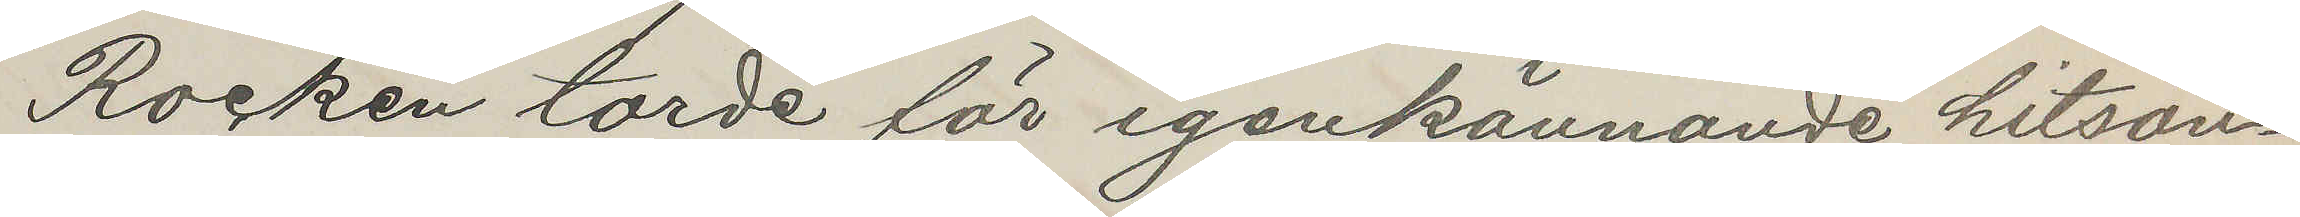Rocken torde för igenkännande hitsän¬
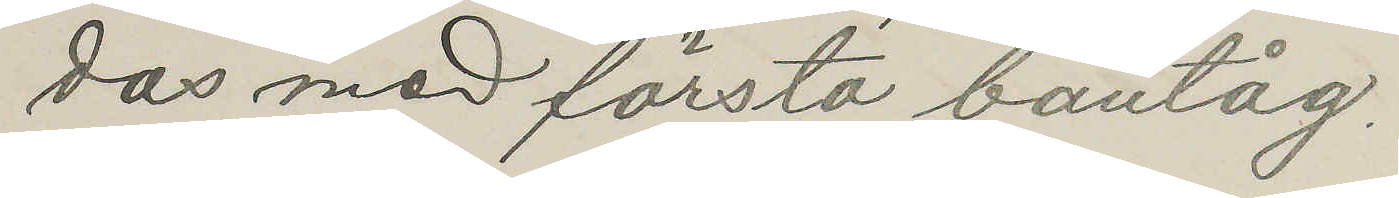das med första bantåg.
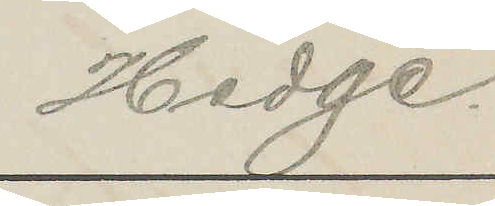Hedge.
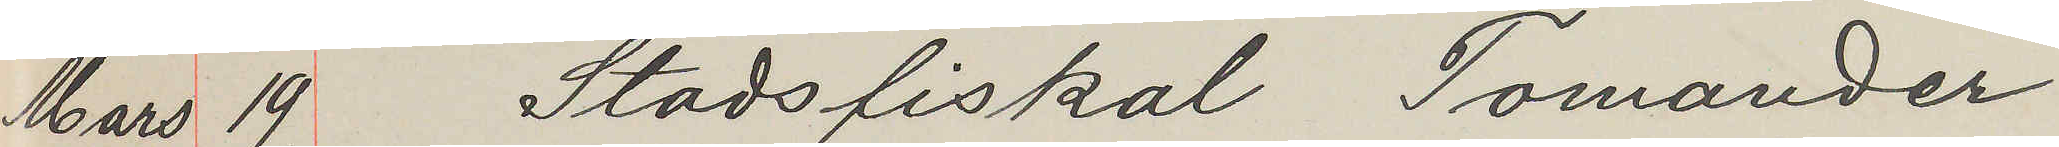Mars 19 Stadsfiskal Tomander
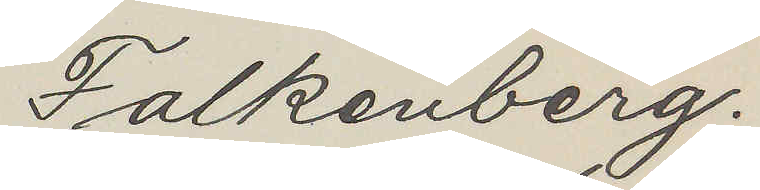Falkenberg.
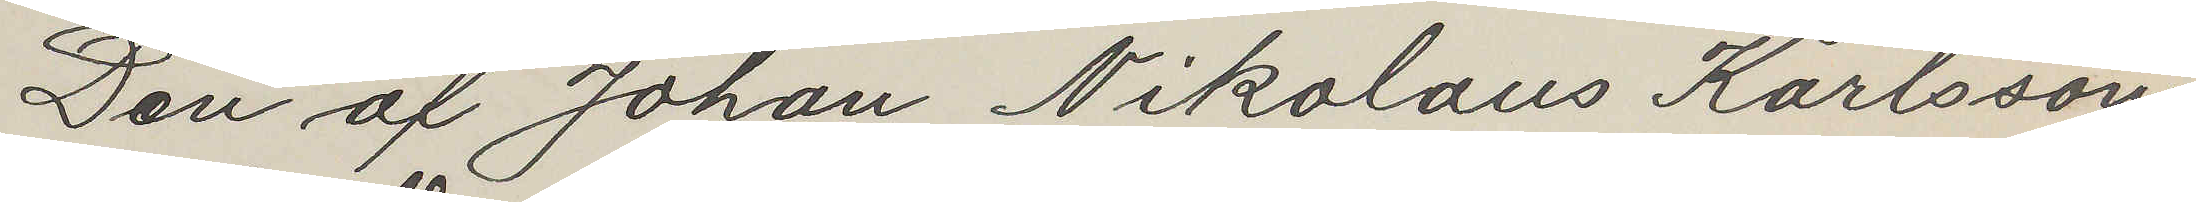Den af Johan Nikolaus Karlsson
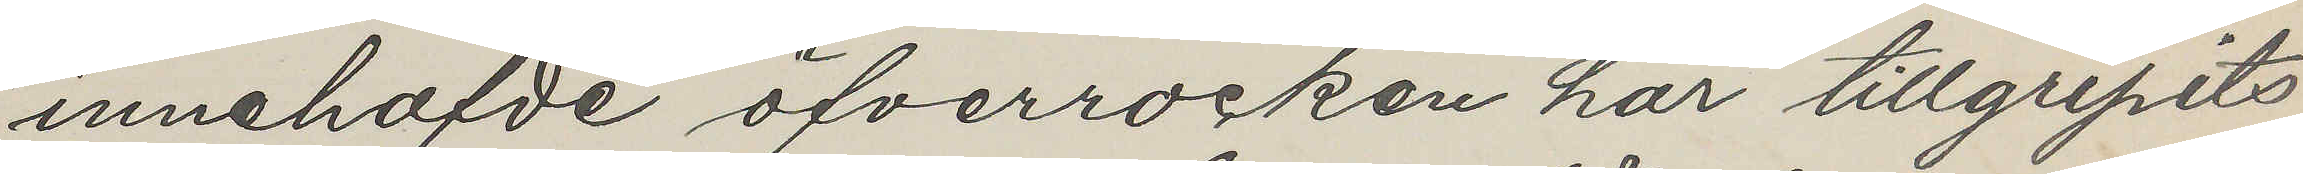innehafde öfverrocken har tillgripits
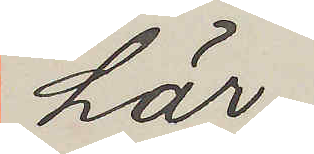här.
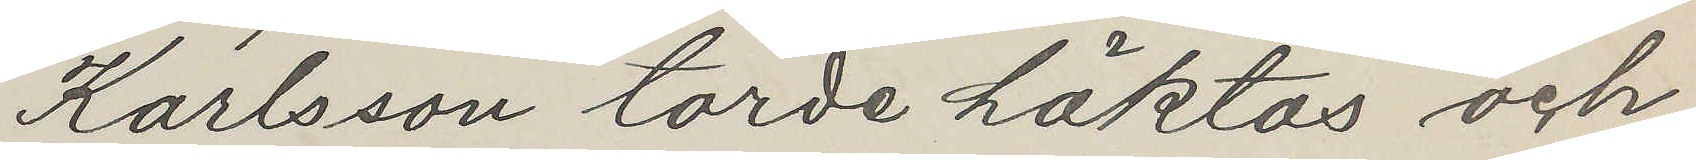Karlsson torde häktas och
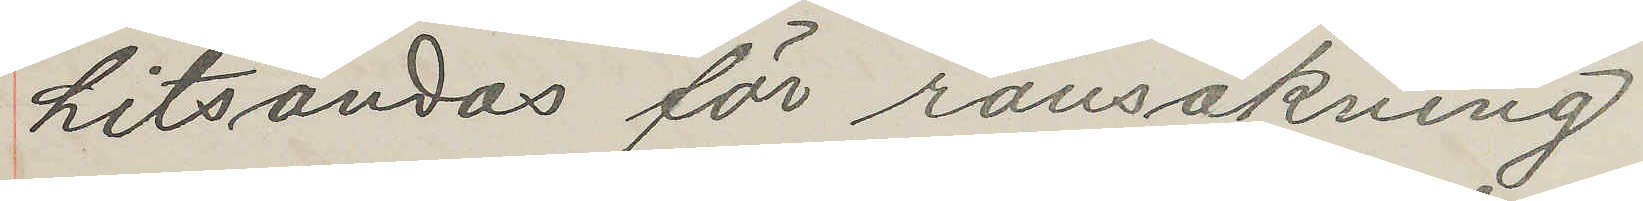hitsändas för ransakning
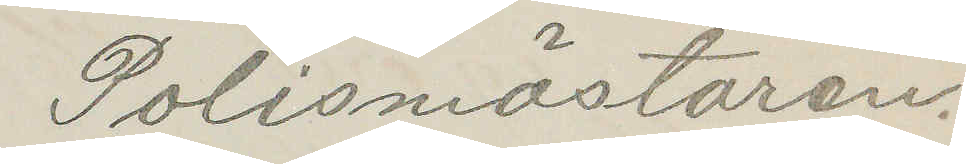Polismästaren.
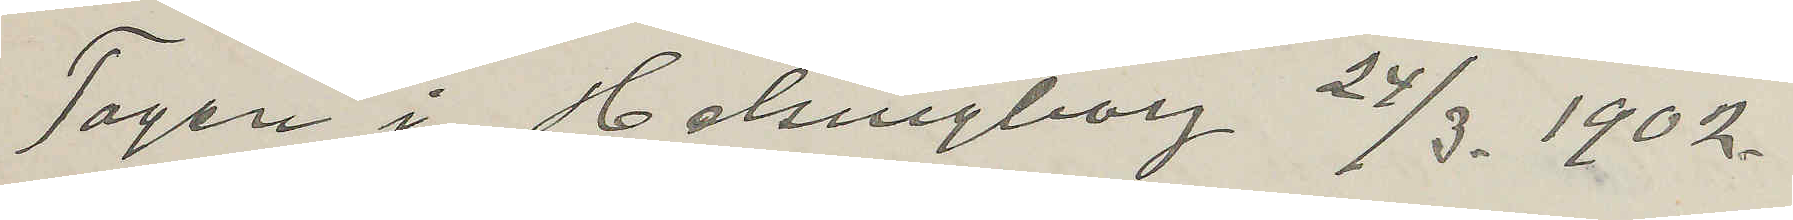Tagen i Helsngborg 24/3. 1902.
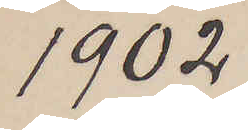1902
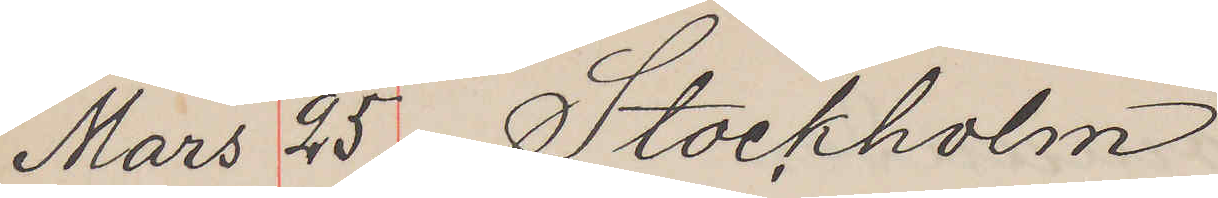Mars 25. Stockholm
